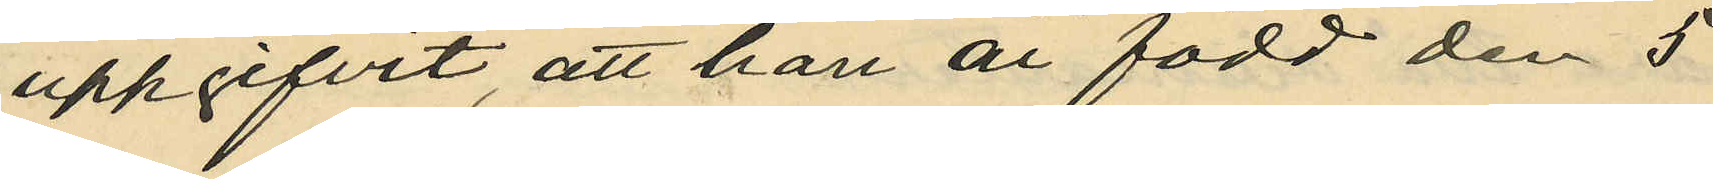uppgifvit, att han är född den 5
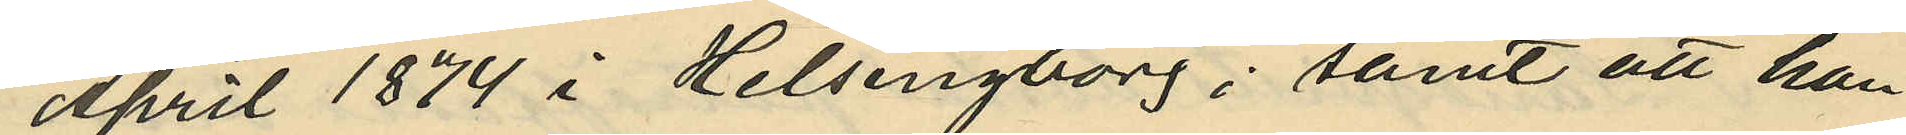April 1874 i Helsingborg; samt att han
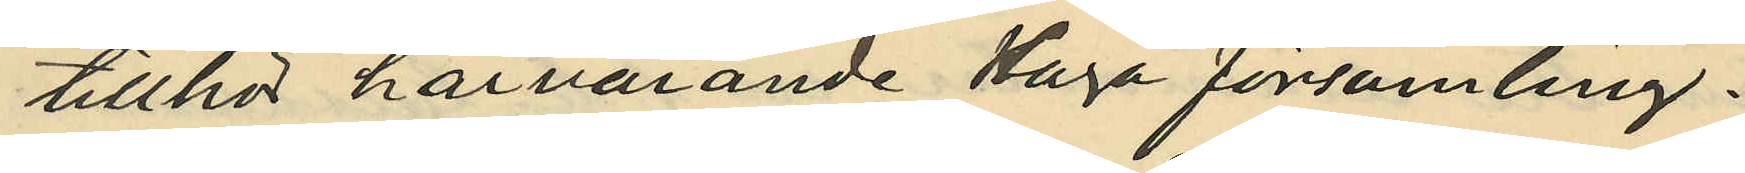tillhör härvarande Haga församling.
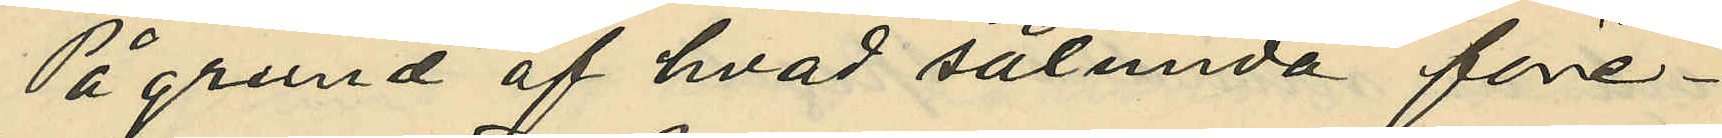På grund af hvad sålunda före¬
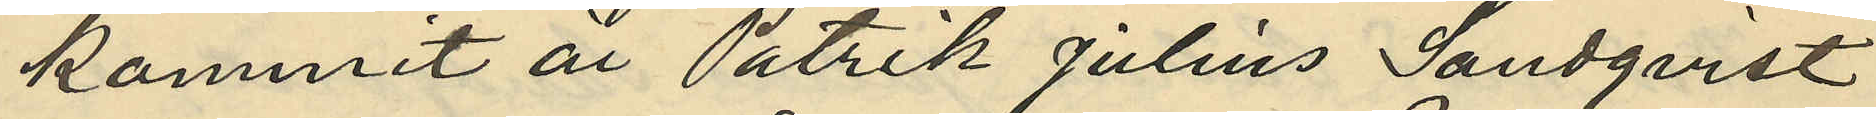kommit är Patrik Julius Landqvist
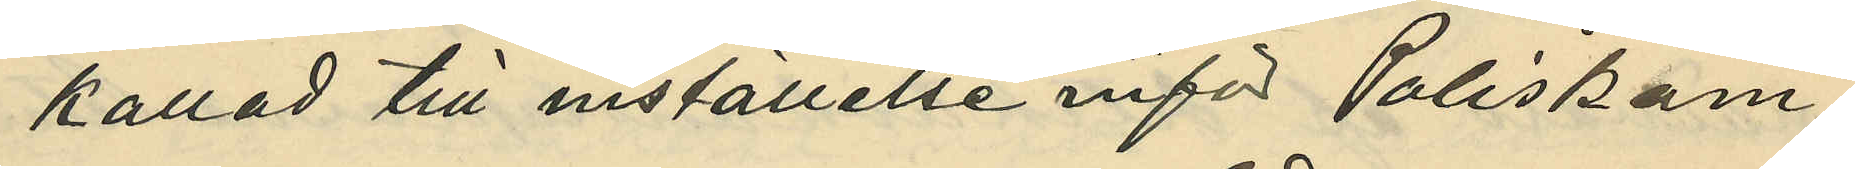kallad till inställelse inför Poliskam¬
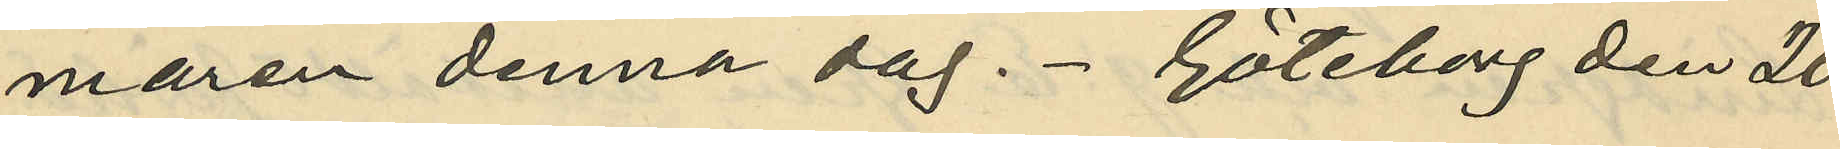maren denna dag. - Göteborg den 20
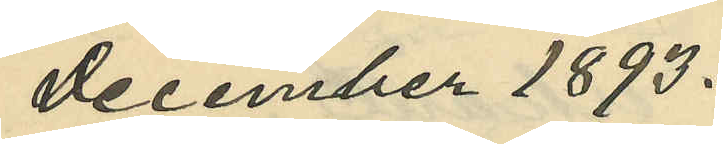December 1893.
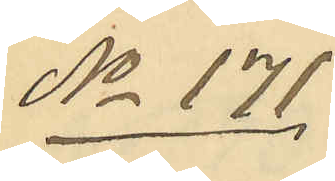No 171
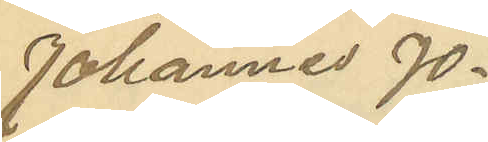Johannes Jo¬
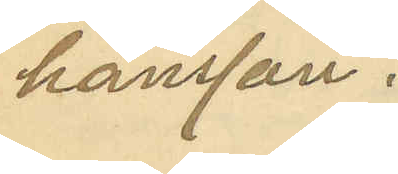hansson.
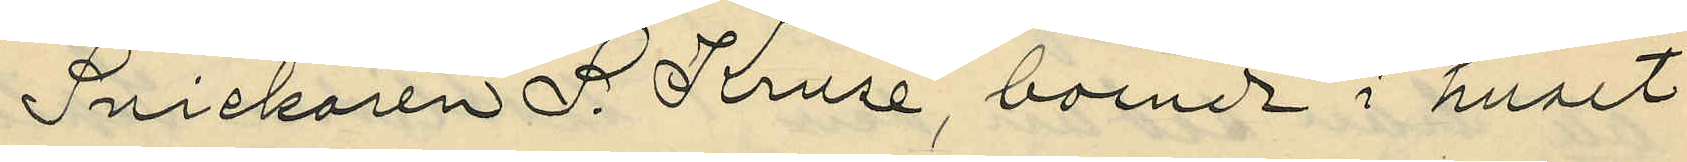Snickaren F. Kruse, boende i huset
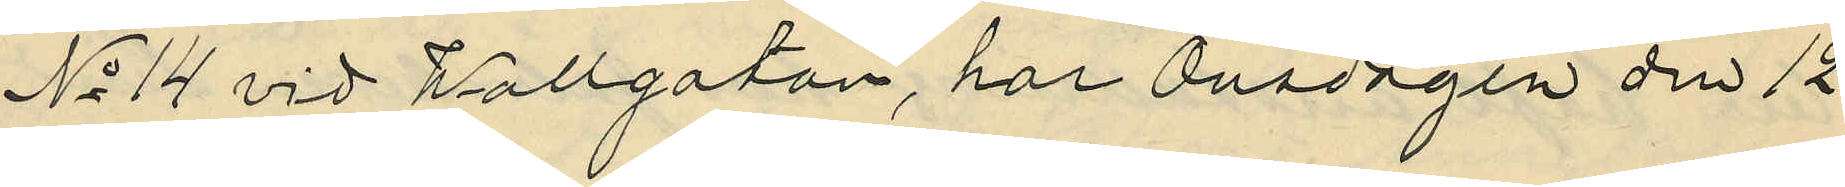No 14 vid Wallgatan, har Onsdagen den 12
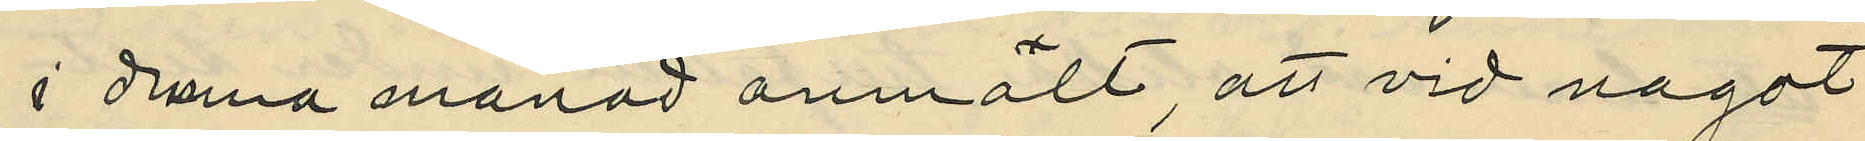i denna manad anmält, att vid nagot
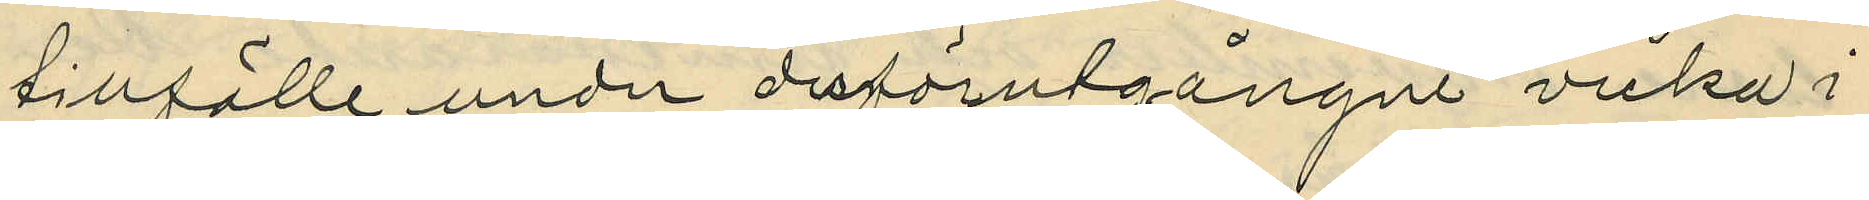tillfälle under derförutgångne vecka i
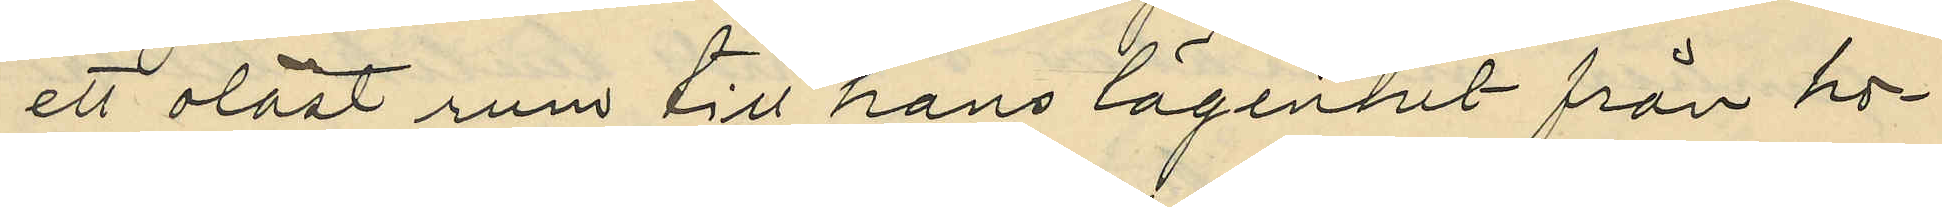ett olåst rum till hans lägenhet från ho¬
